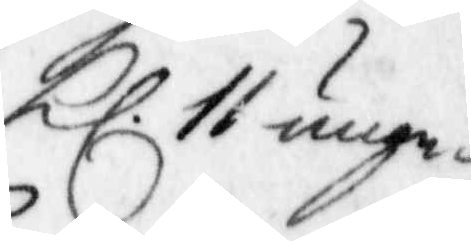Kl. 11 unge¬
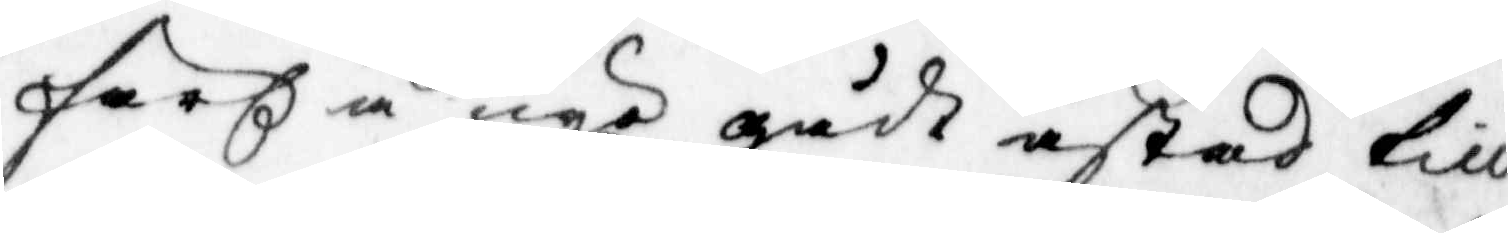färh å nyo gådt astad till
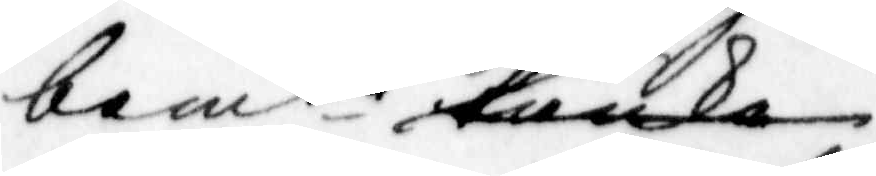bemte backa
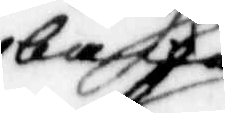backe.
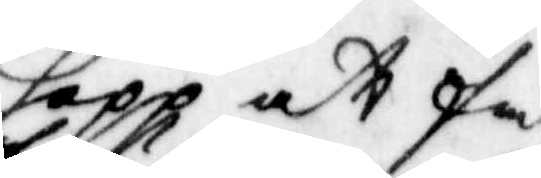hopp at få
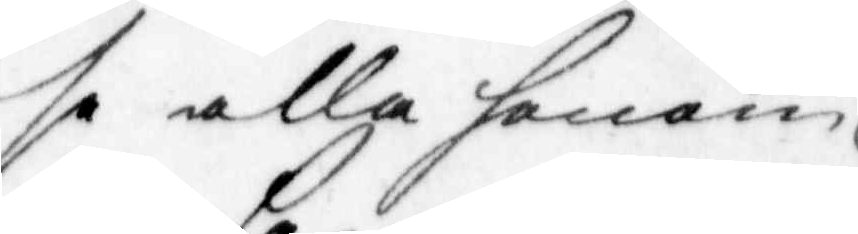se alla honom
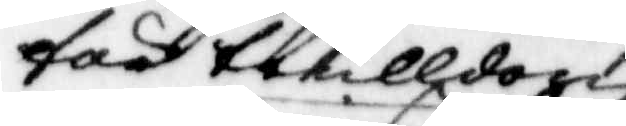för trulldom
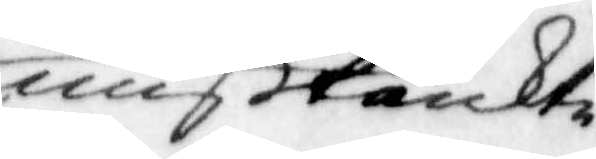mißtänckte
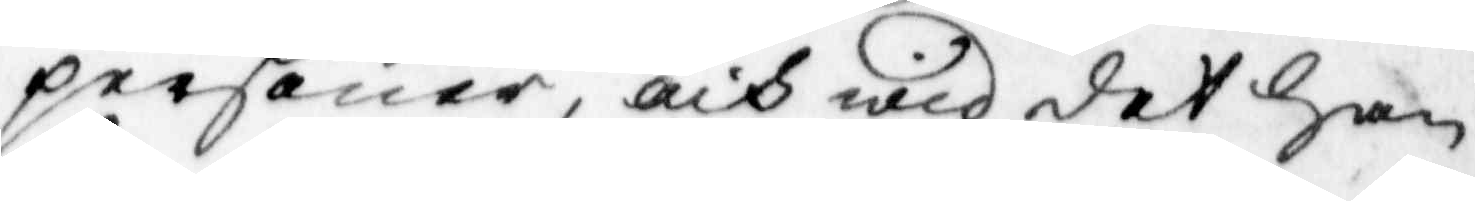personer, och wid det han
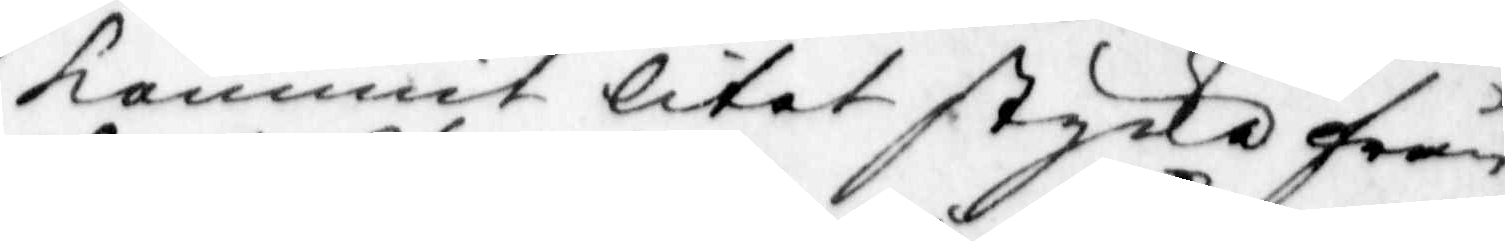kommit litet stycke från
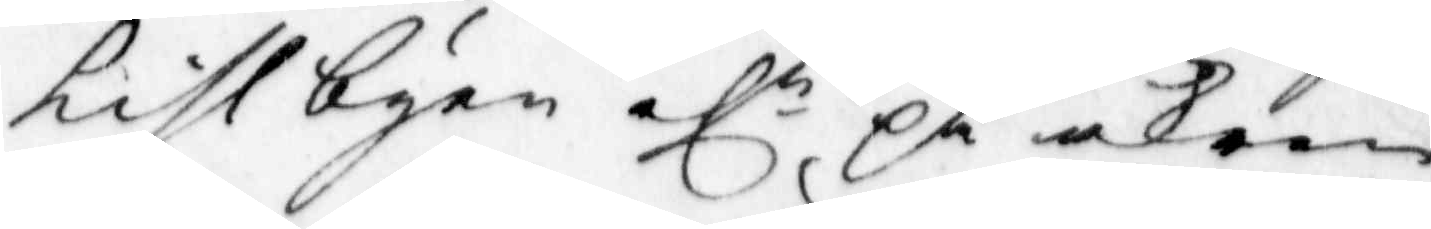kislbyen elr på åkren
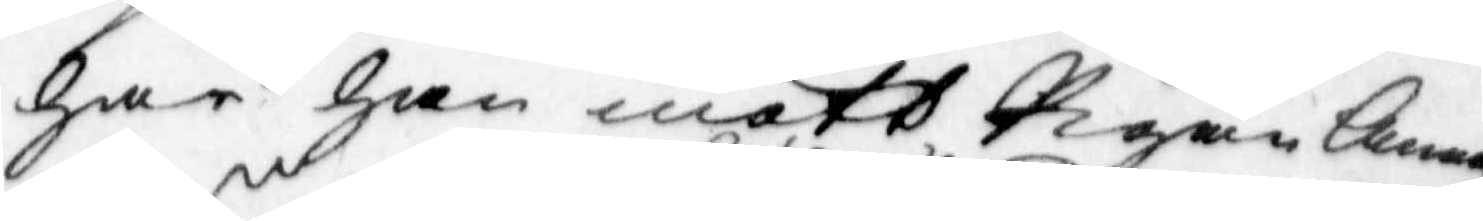har han mött Pigan Anna
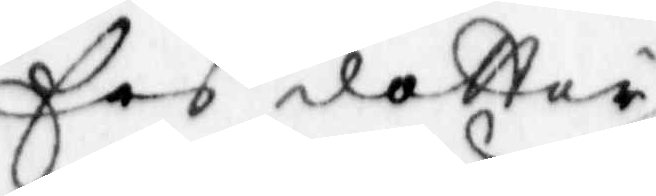Ers dotter 
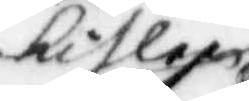kislen
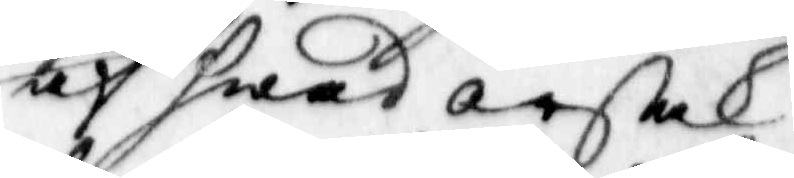af hwad orsak
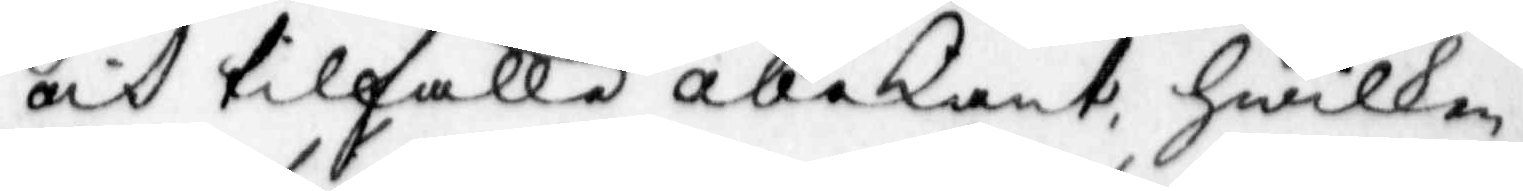och tilfälle obekant, hwilken,
